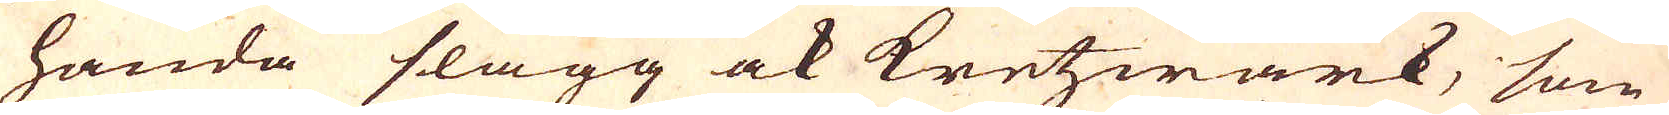handa slagg ock kretzwärk, som
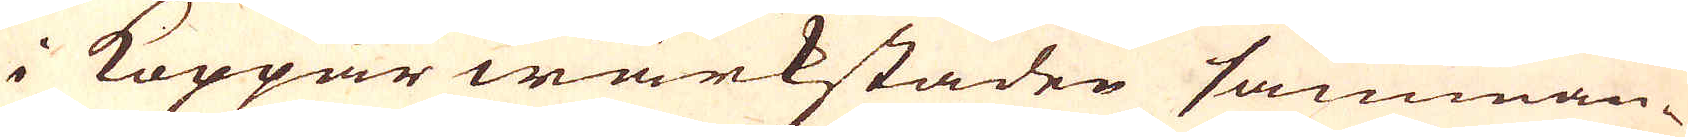i Koppar wärkstaden samman-
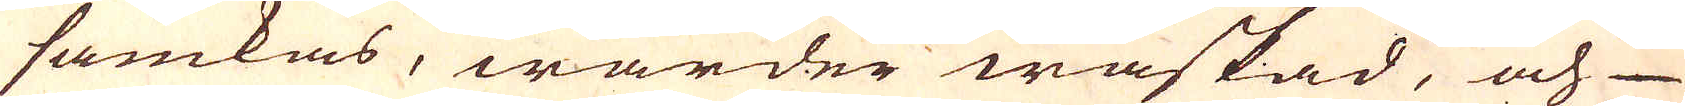samkas, warder waskad, och
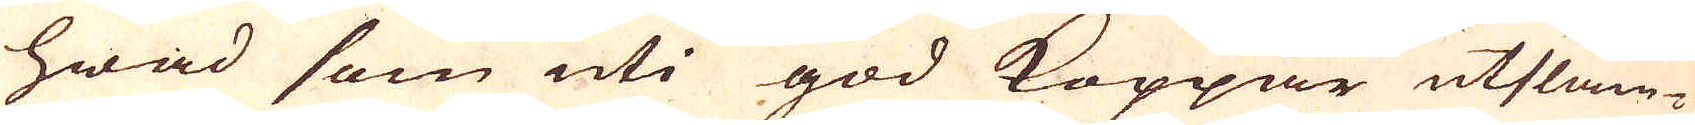hwad som uti god Koppar utslam-
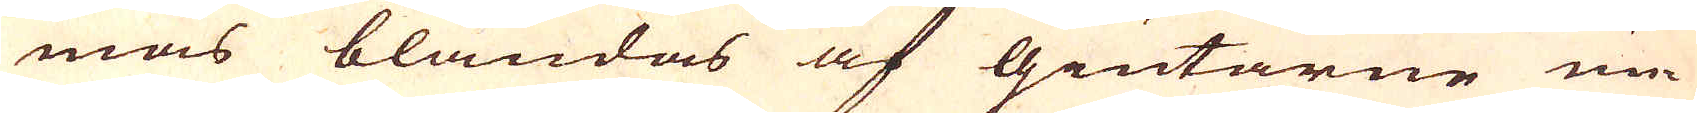mas blandas af Giutarne un-
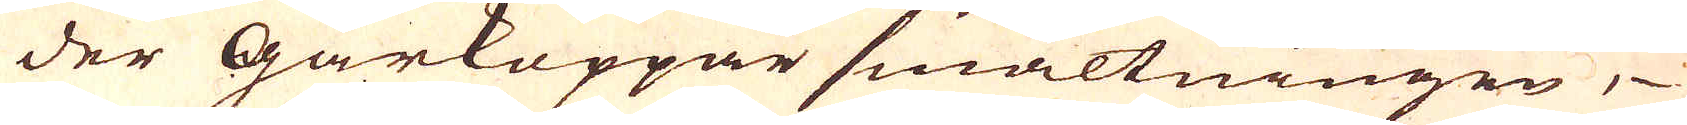der Gårkoppar smältningen,
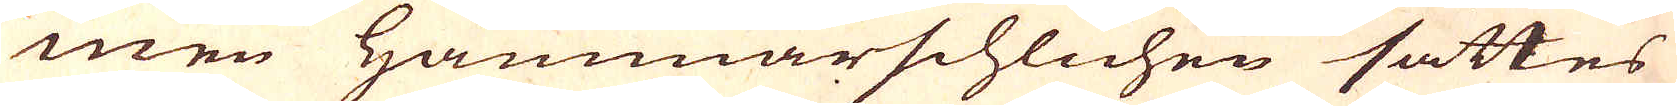men Hammar schlichen sättes
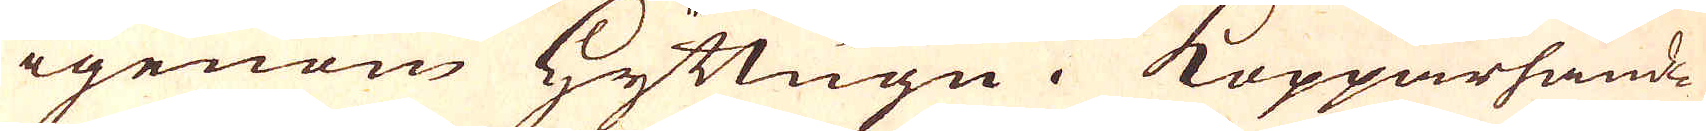igenom hyttugn. Kopparhand-
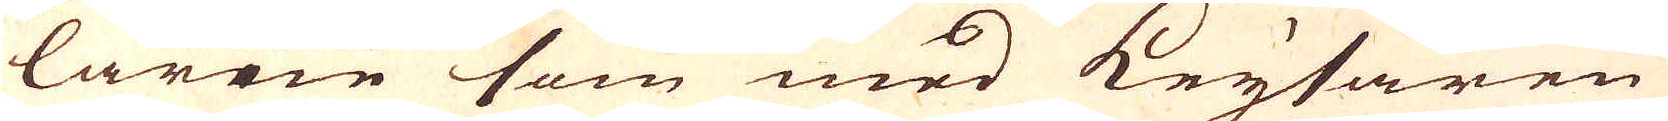larne som med keysaren
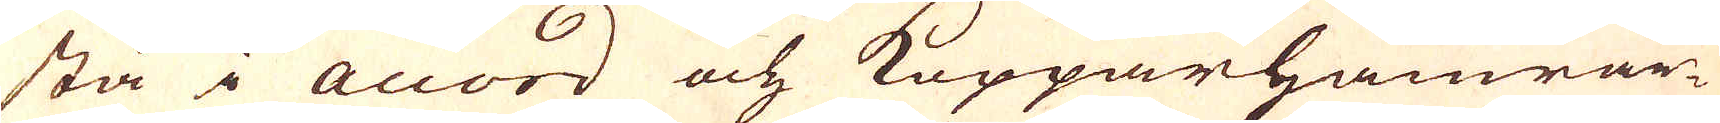stå i accord och Kopparhamrar-
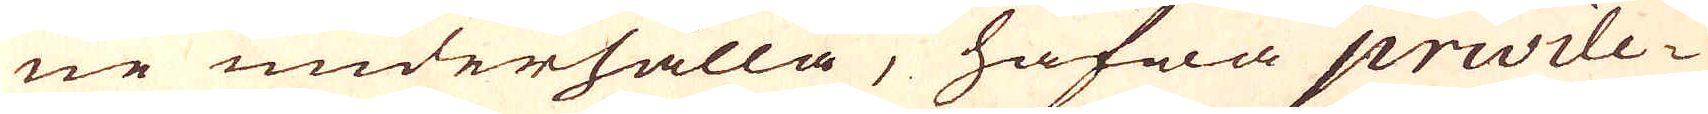ne underhålla, hafwa privile-
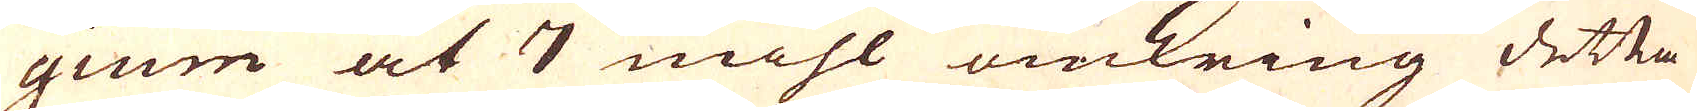gium at 7 mihl omkring detta
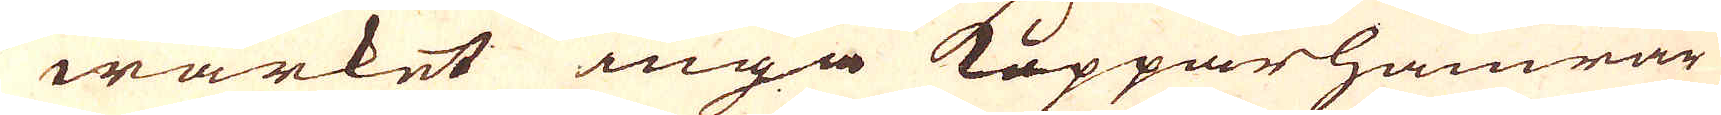wärket inga Koppar hamrar
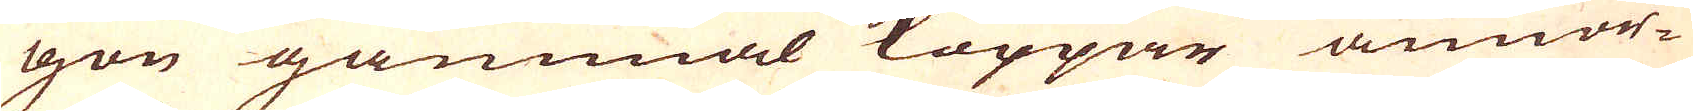gon gammal koppor annor-
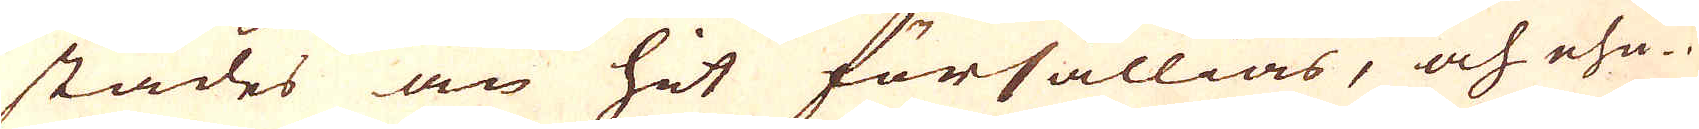stades än hit försällias, och ehu-
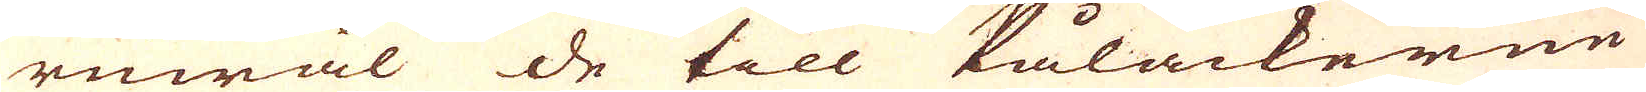ruwäl de till Pålackerne
